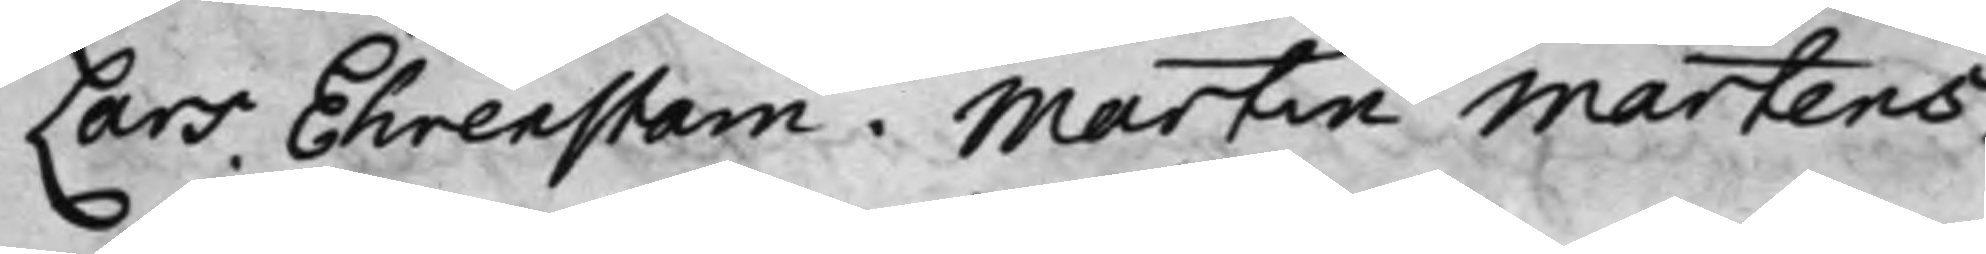Lars Ehrenstam. Martin Martens.
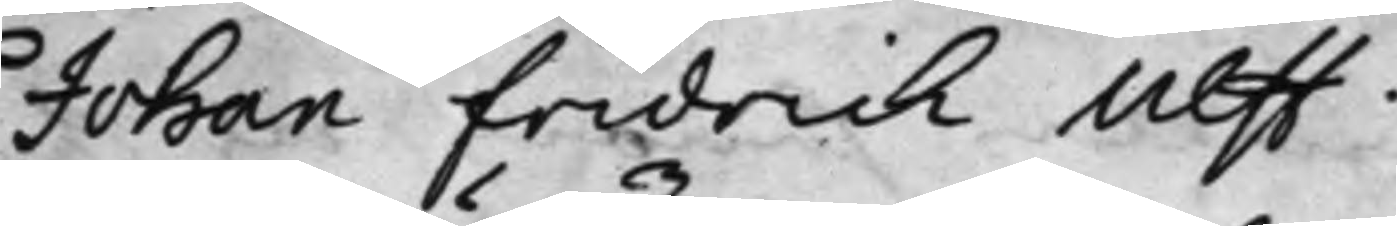Johan Fridrich Ulff.
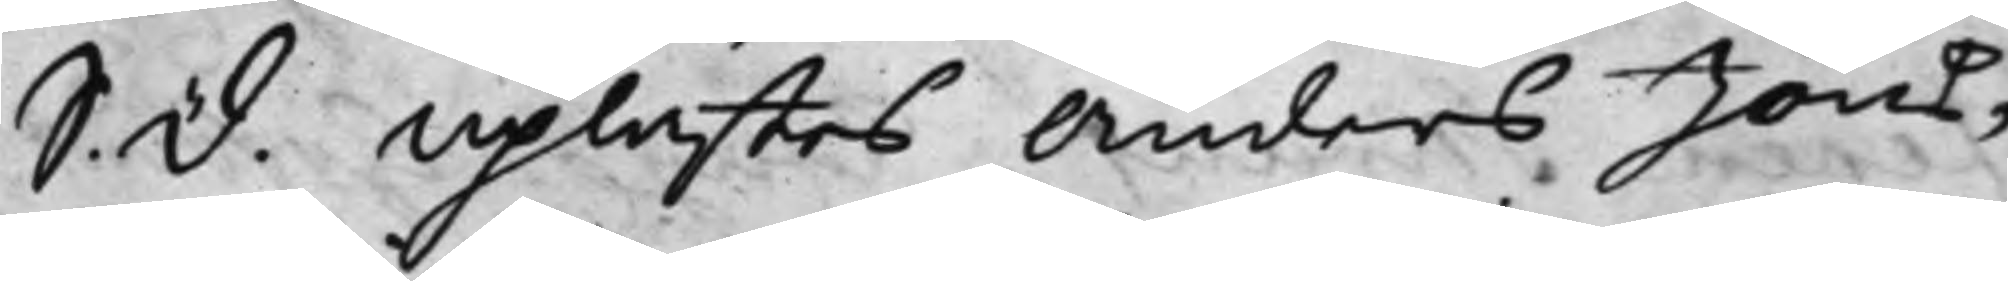S. d. Uplästes Anders Jöns¬
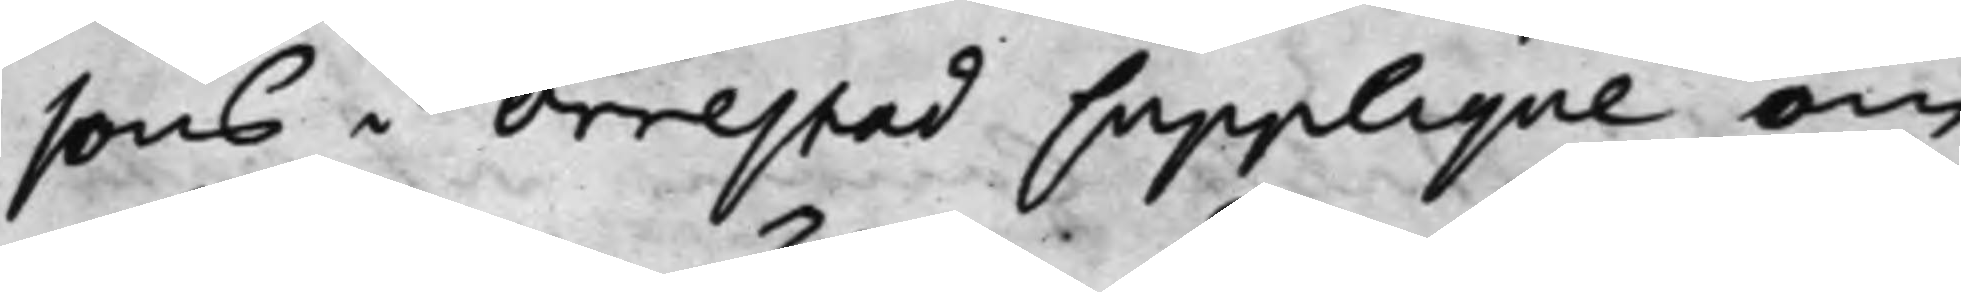sons i Orrestad Supplique om
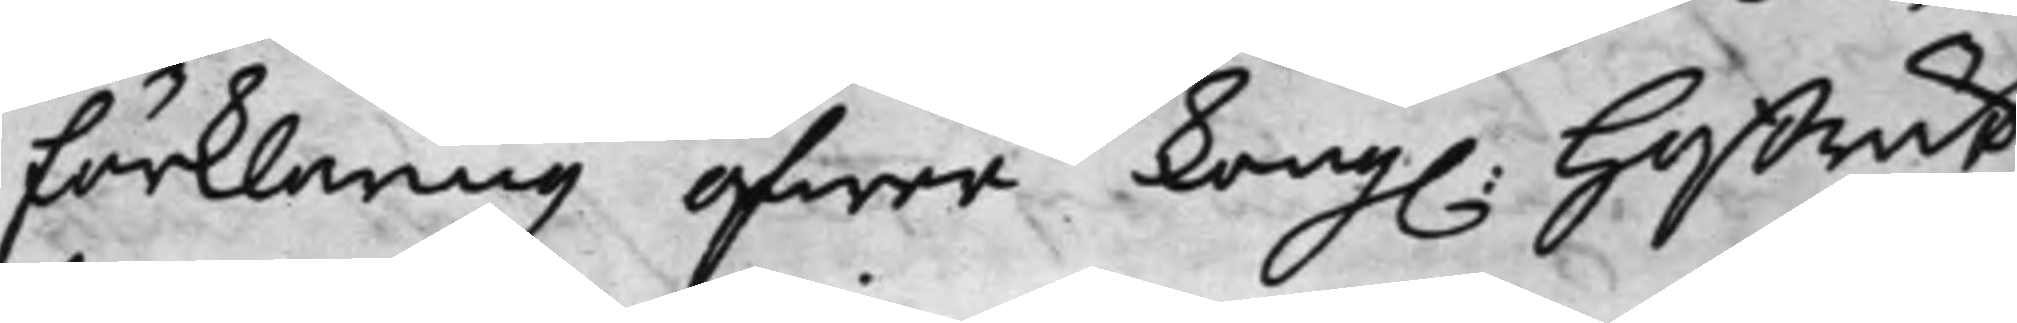förklaring öfwer Kong. Hoffrätt¬
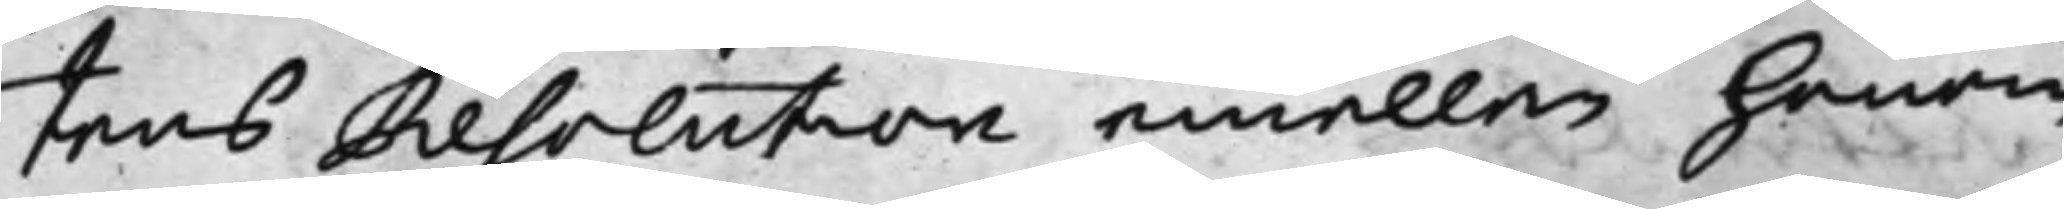tens Resolution emellan honom
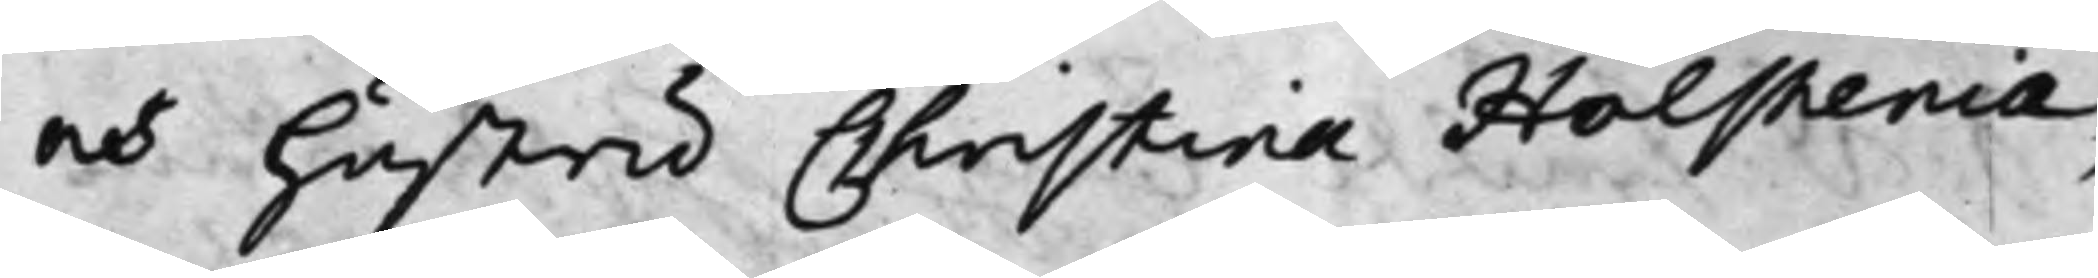och hustru Christina Holstenia,
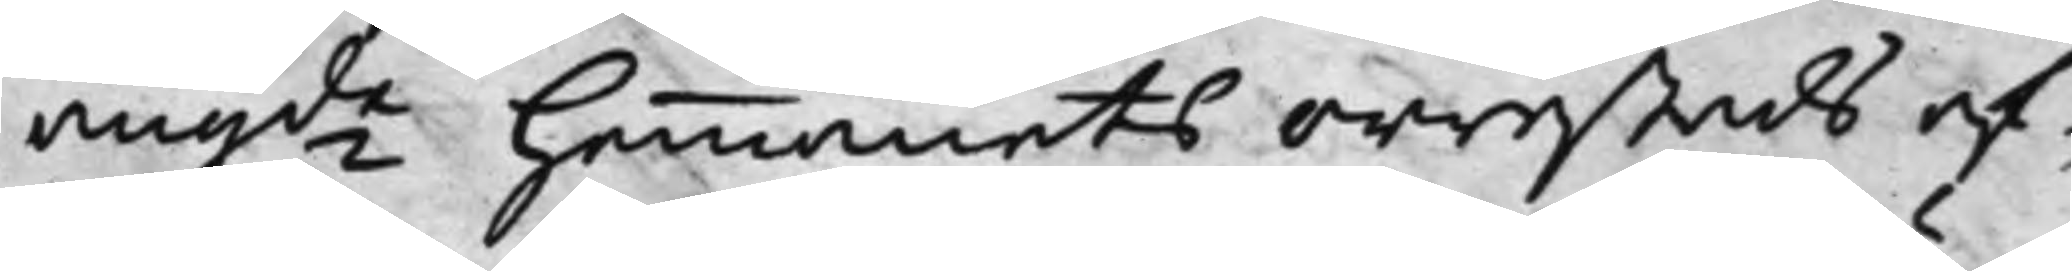angde Hemmanets Orrestads af¬
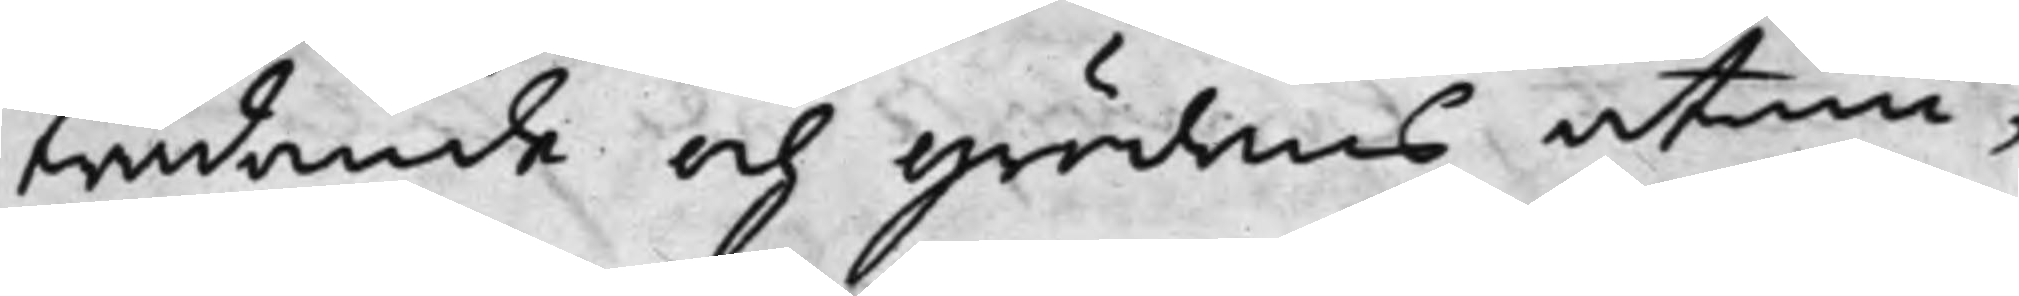trädande och grödones åtniu¬
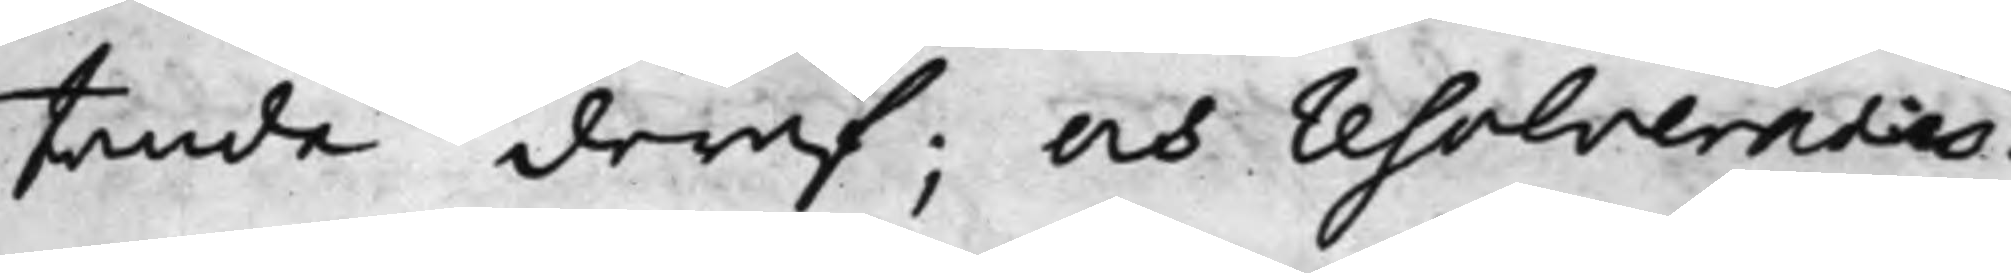tande deraf; och resolverades:
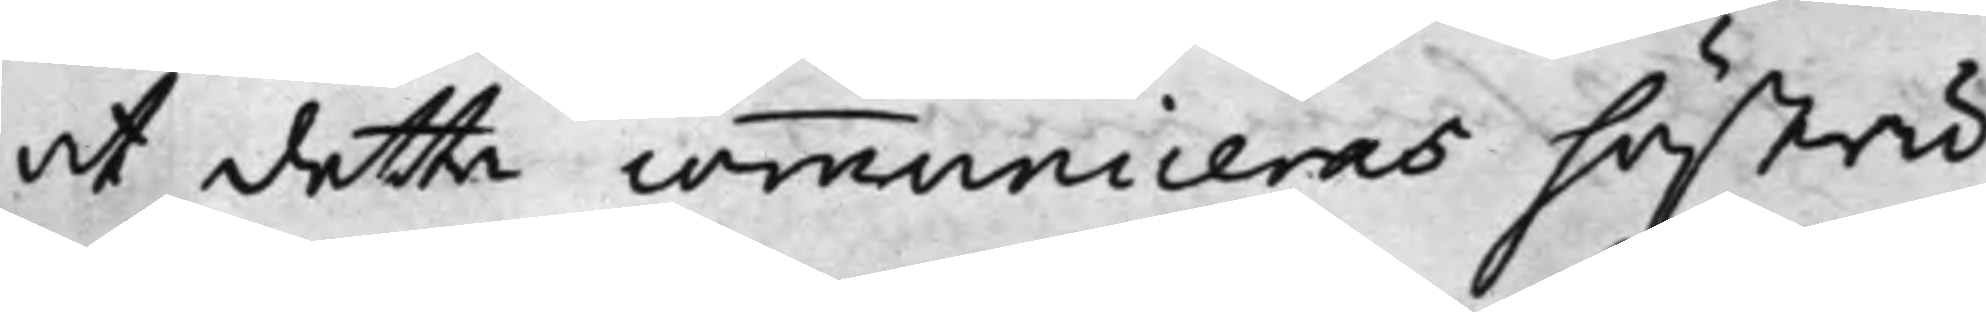at detta communiceras hustru
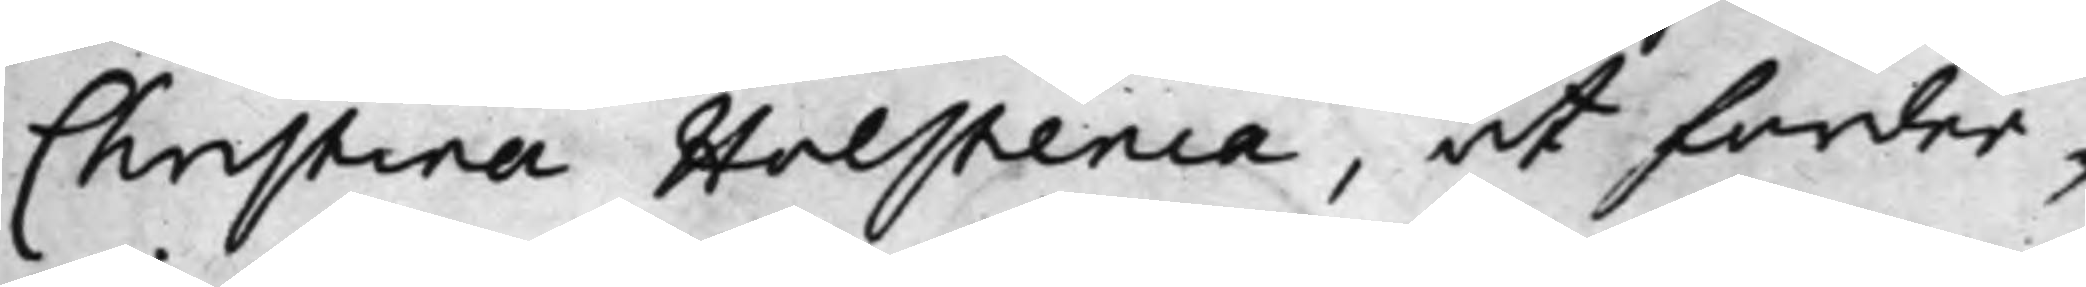Christina Holstenia, at forder¬
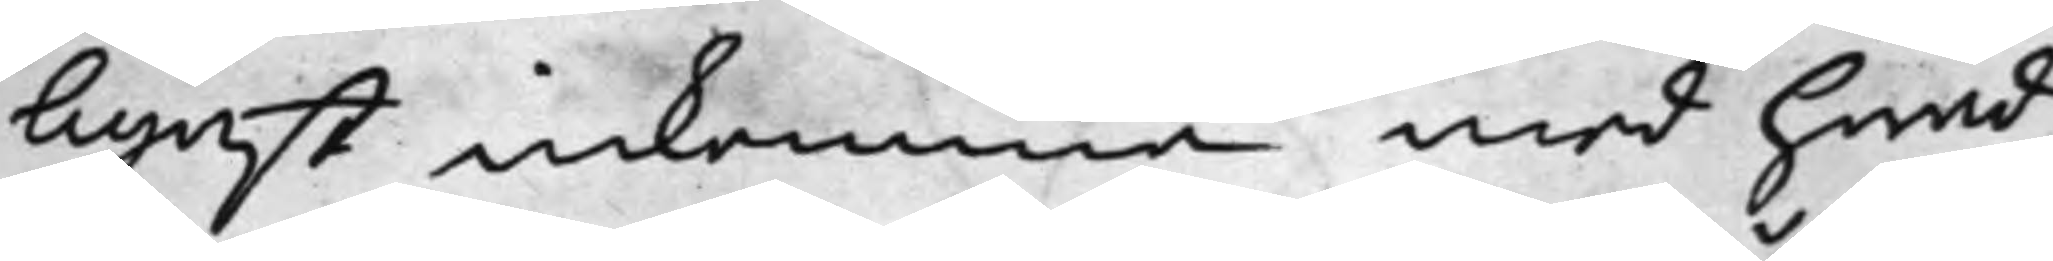ligast inkomma med hwad
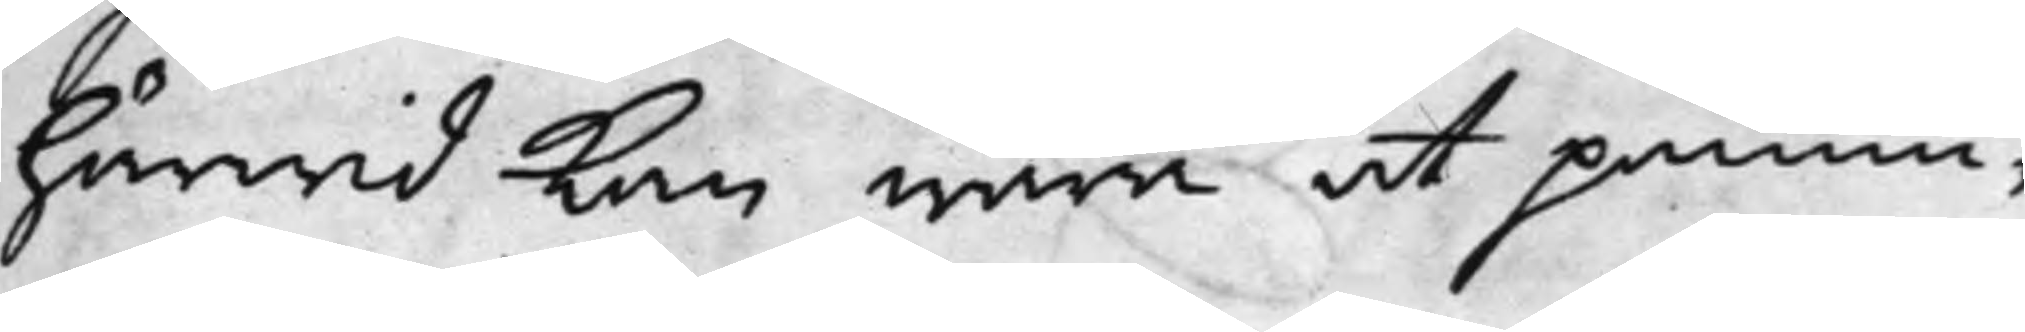härwid kan wara at påmin¬
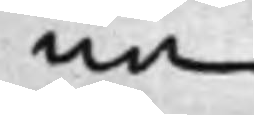na.
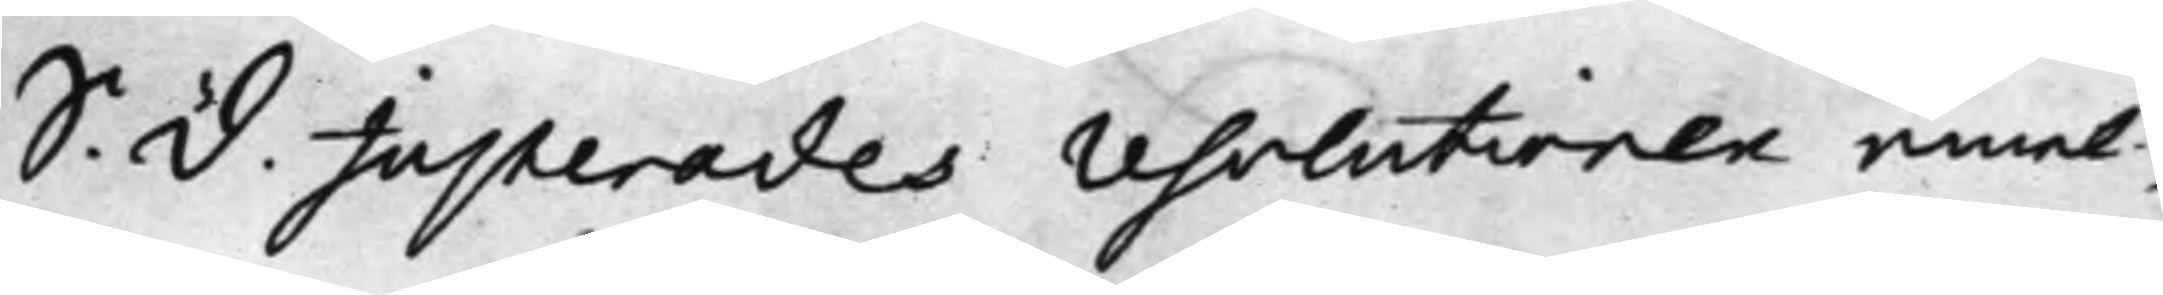S. d. Justerades resolutionen emel¬
